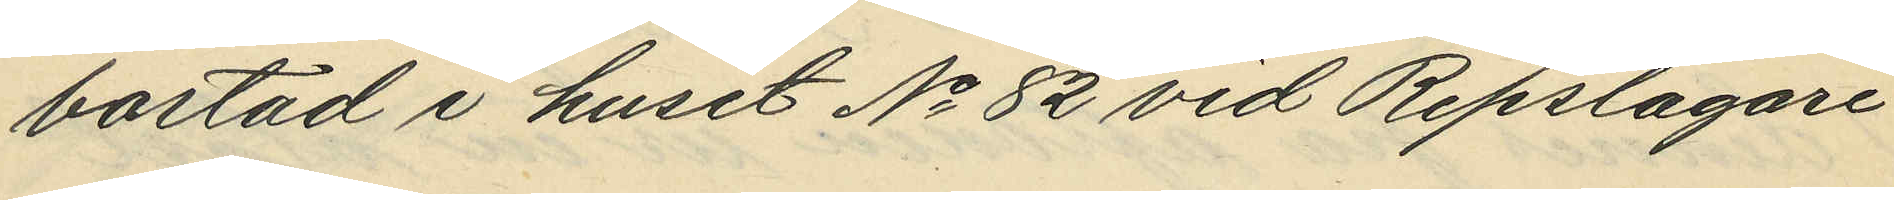bostad i huset No 82 vid Repslagare
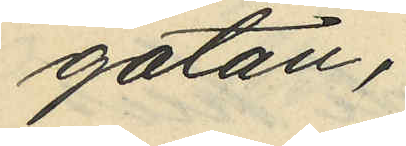gatan;
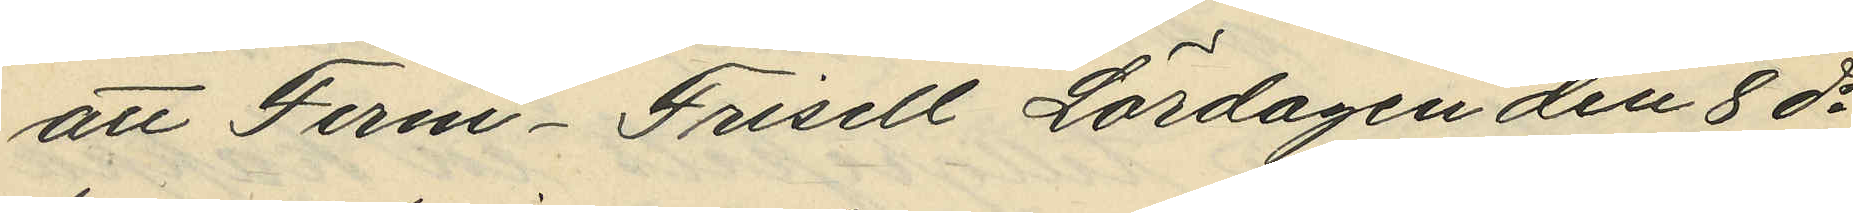att Ferm-Frisell Lördagen den 8 ds
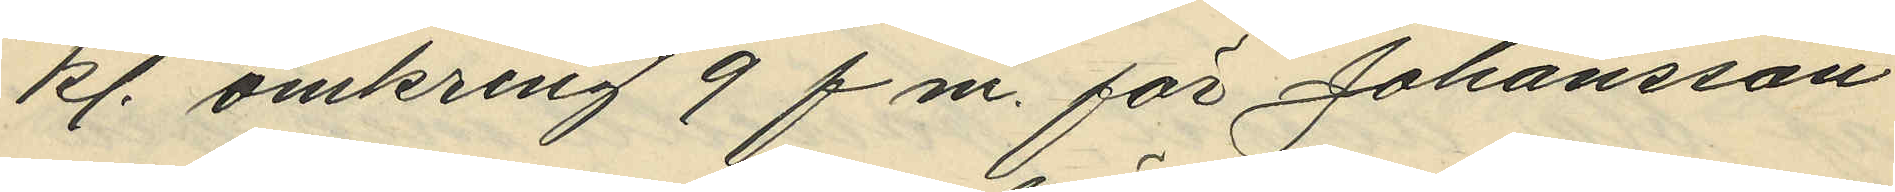kl. omkring 9 f.m. för Johansson
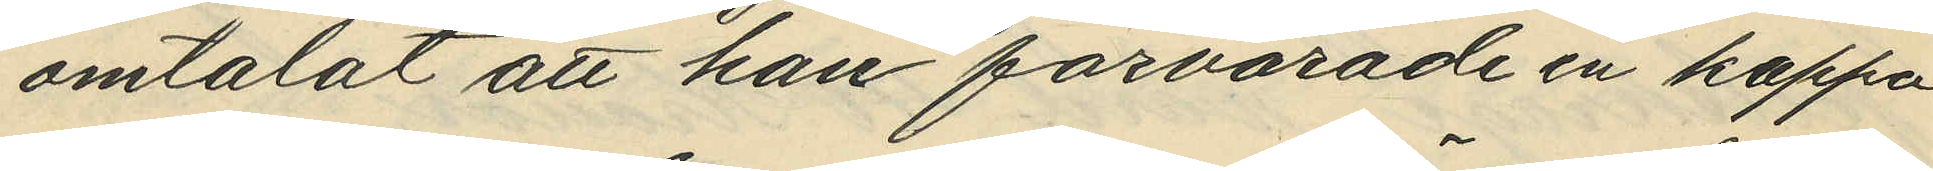omtalat att han förvarade en kappa
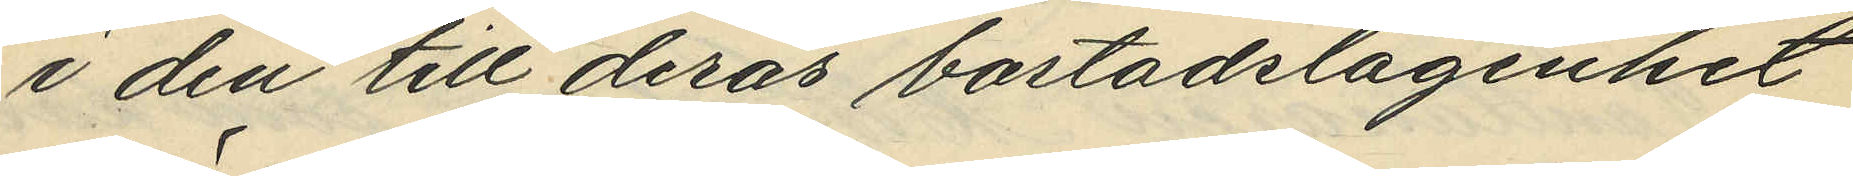i den till deras bostadslägenhet
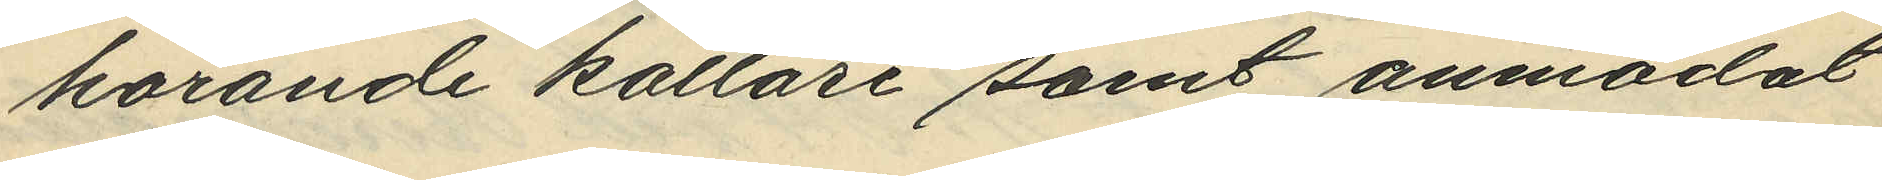hörande källare samt anmodat
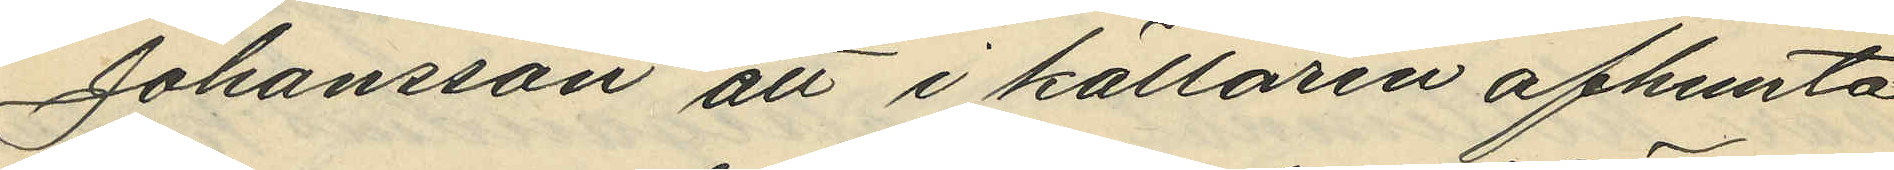Johansson att i källaren afhemta
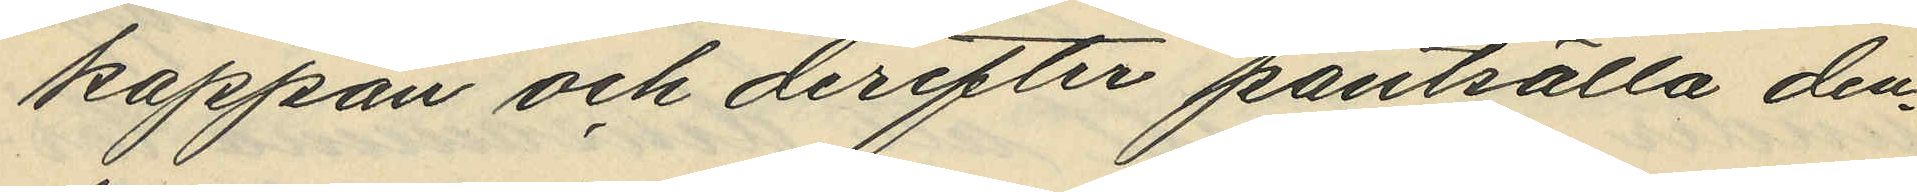kappan och derefter pantsätta den¬
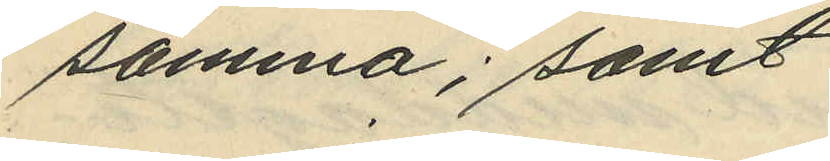samma; samt
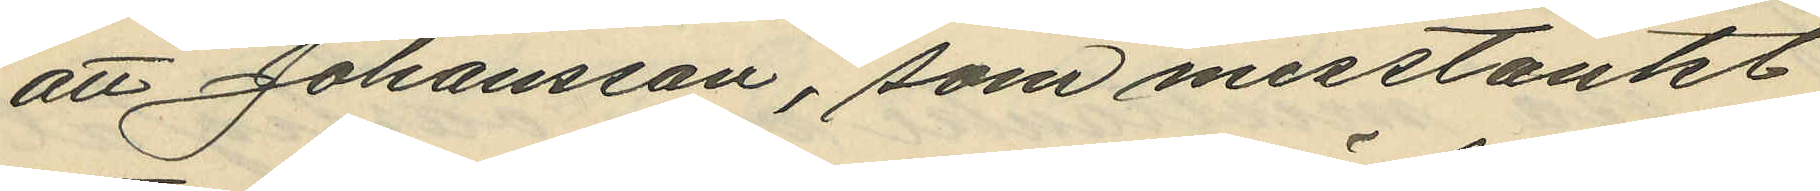att Johansson, som misstänkt
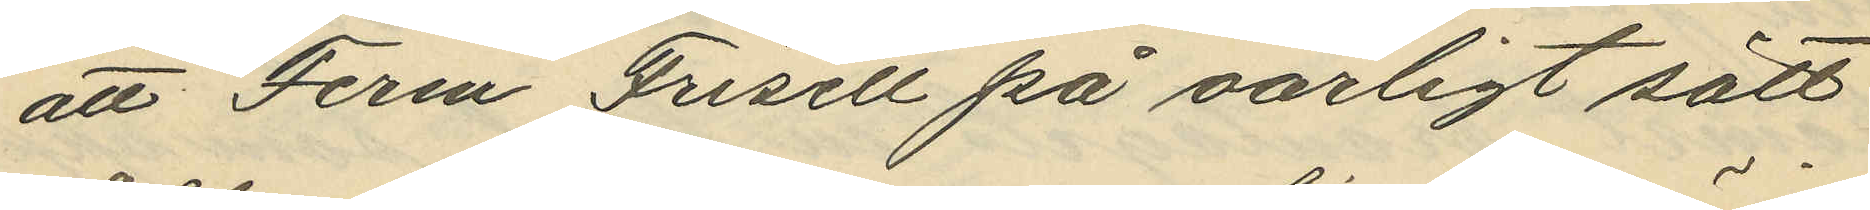att Ferm Frisell på oärligt sätt
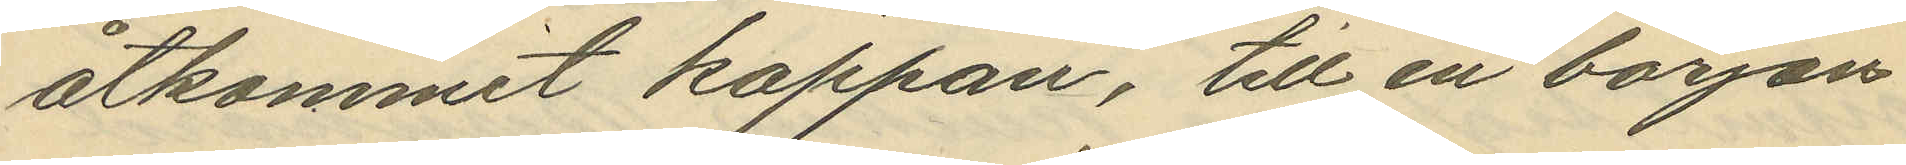åtkommit kappan, till en början
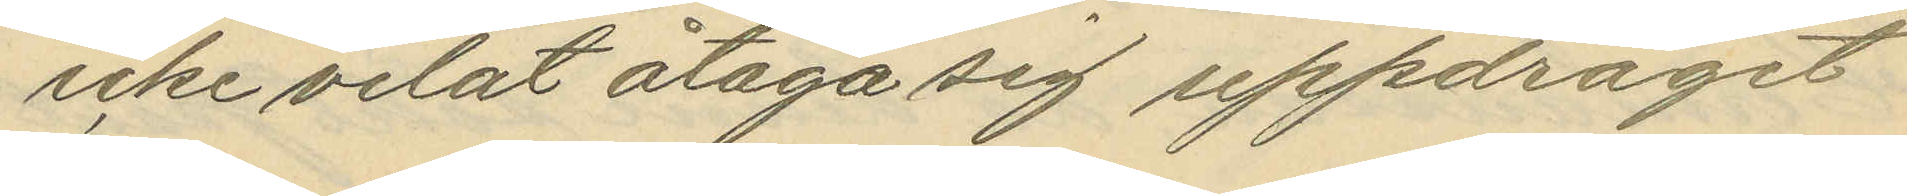icke velat åtaga sig uppdraget
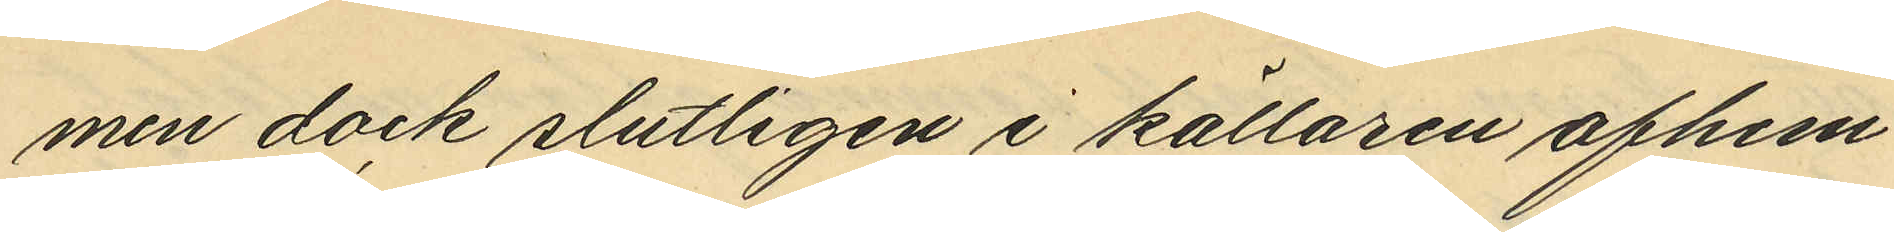men dock slutligen i källaren afhem¬
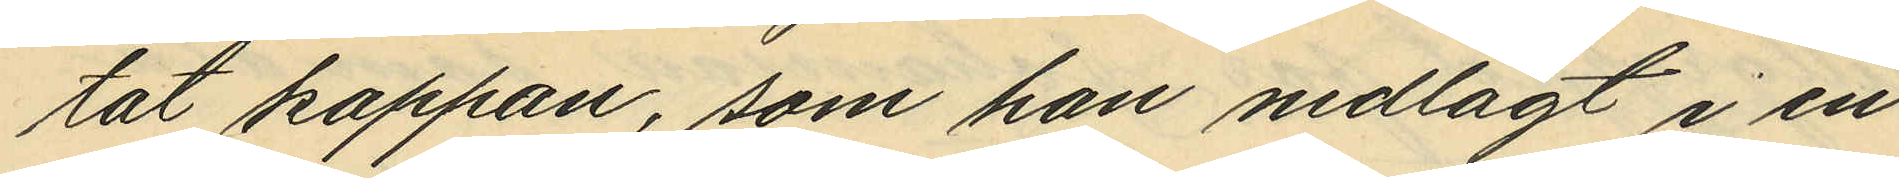tat kappan, som han nedlagt i en
